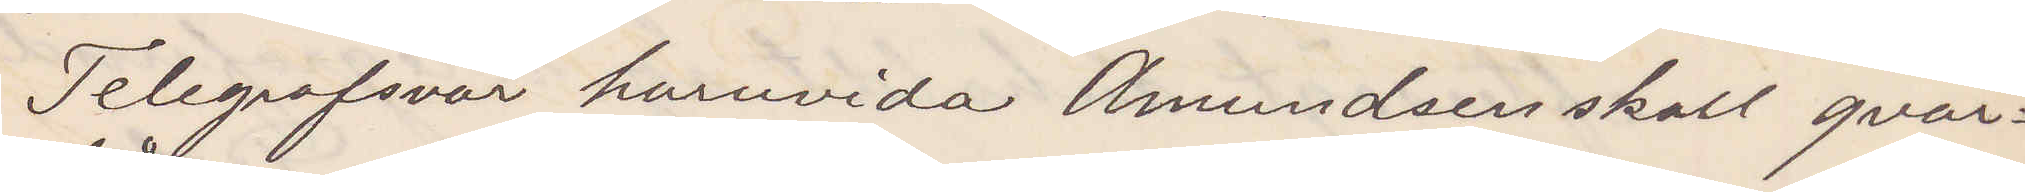Telegrafsvar huruvida Amundsen skall qvar¬
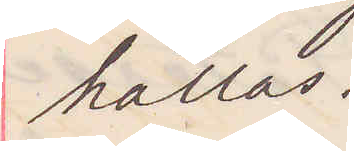hållas.
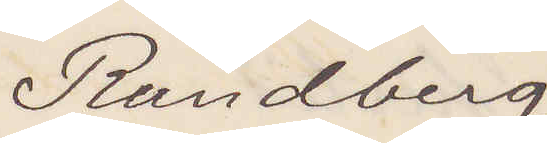Rundberg
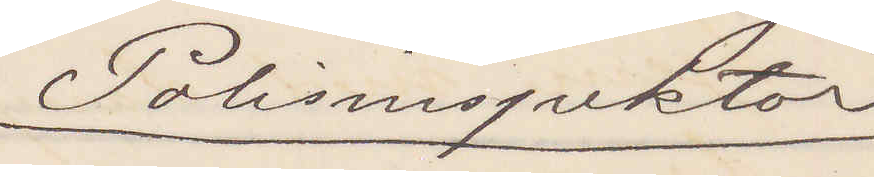Polisinspektor
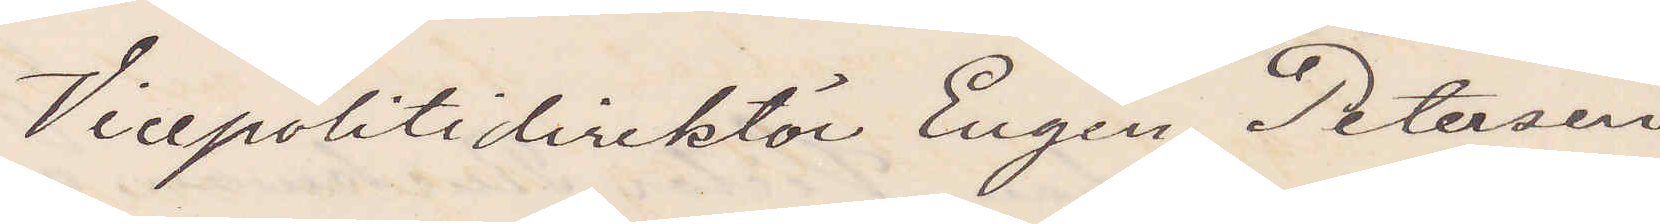Vicepolitidirektör Eugen Petersen
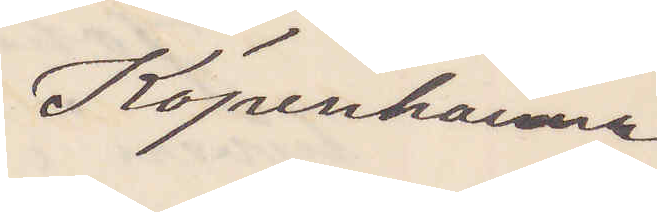Köpenhamn
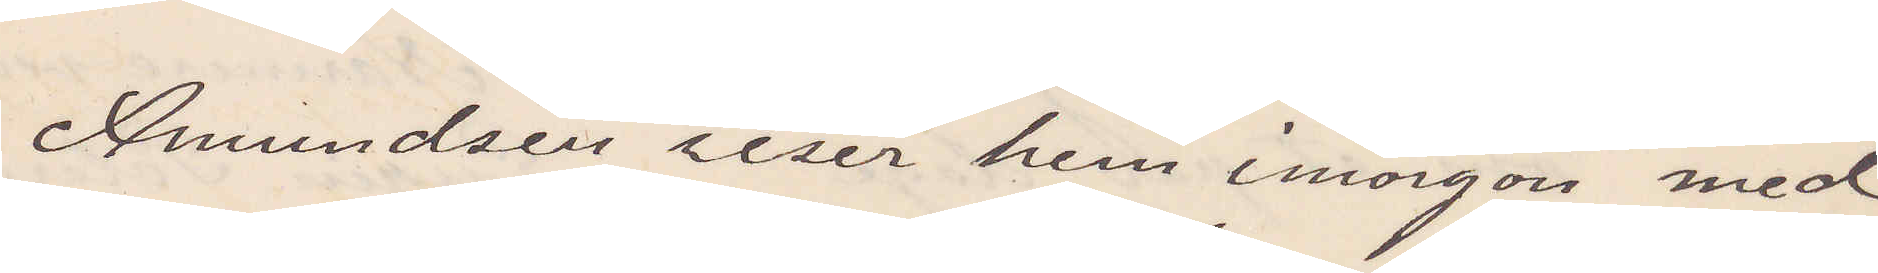Amundsen reser hem imorgon med
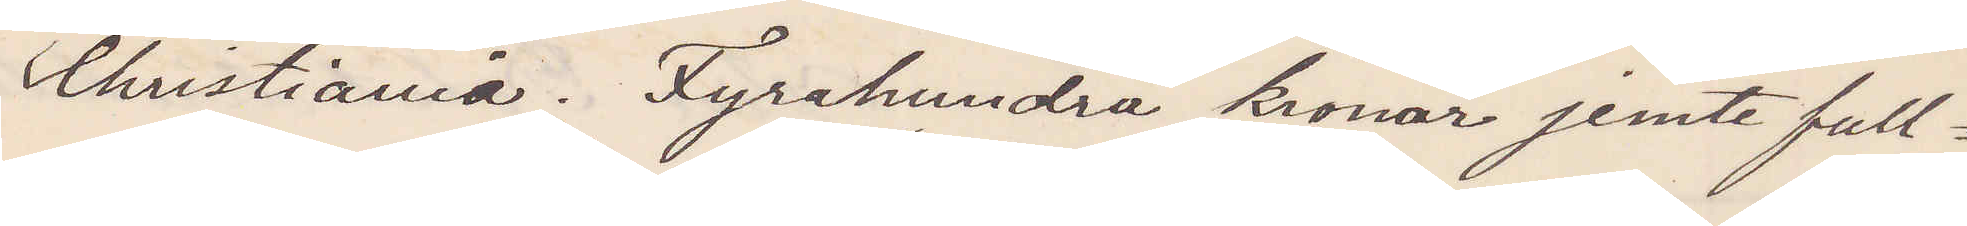Christiania. Fyrahundra kronor jemte full¬
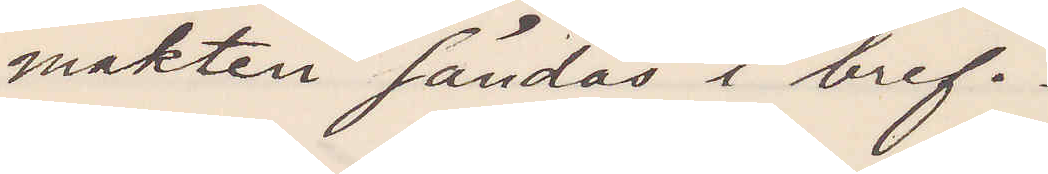makter sändes i bref.
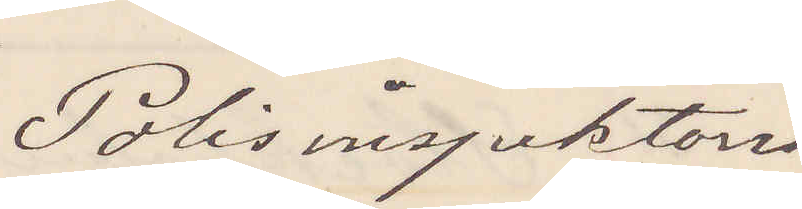Polisinspektorn
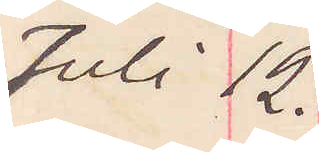Juli 12.
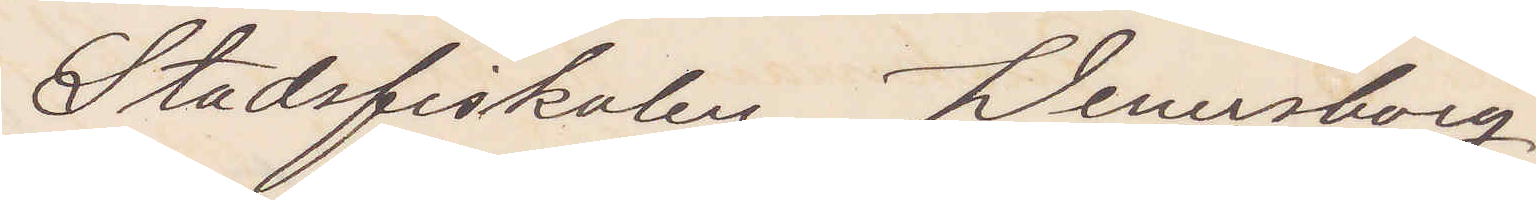Stadsfiskalen Wenersborg
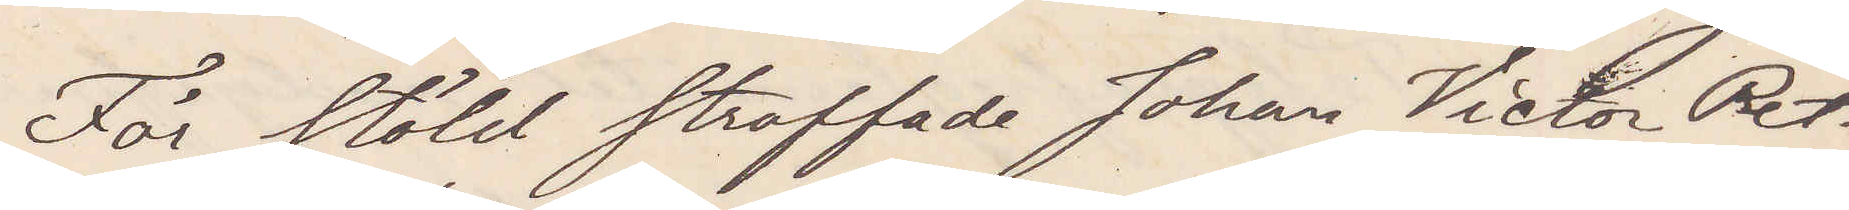För stöld straffade Johan Victor Pet¬
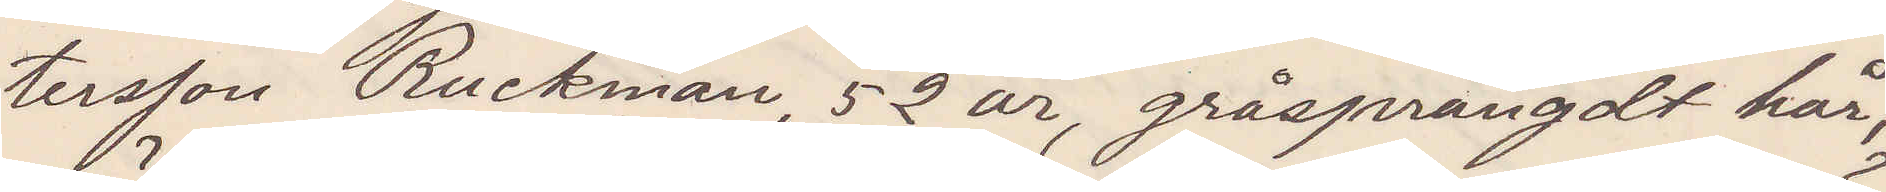tersson Ruckman, 52 år, gråsprängdt hår,
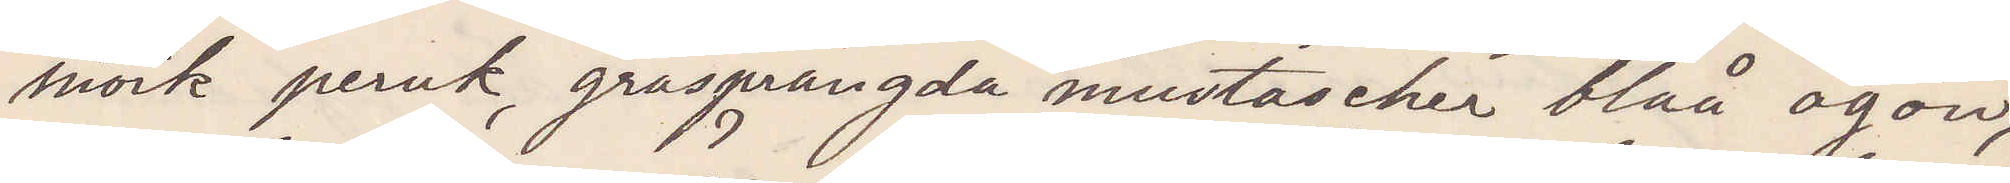mörk peruk, gråsprängda mustascher blåa ögon,
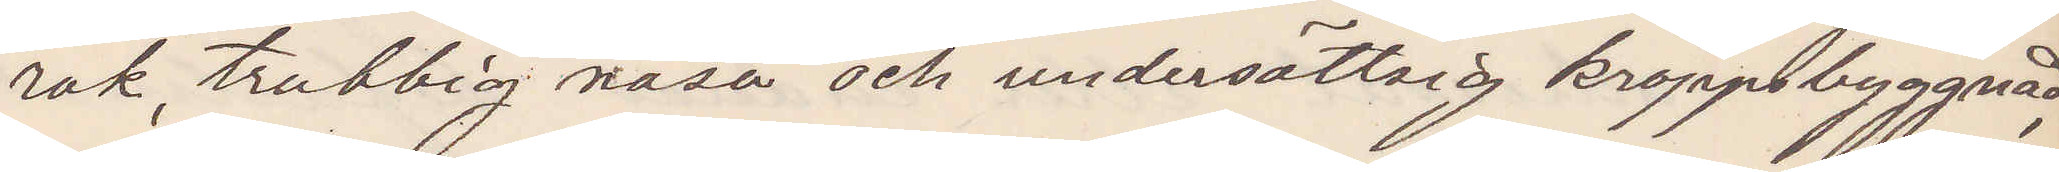rak, trubbig näsa och undersättsig kroppsbyggnad
